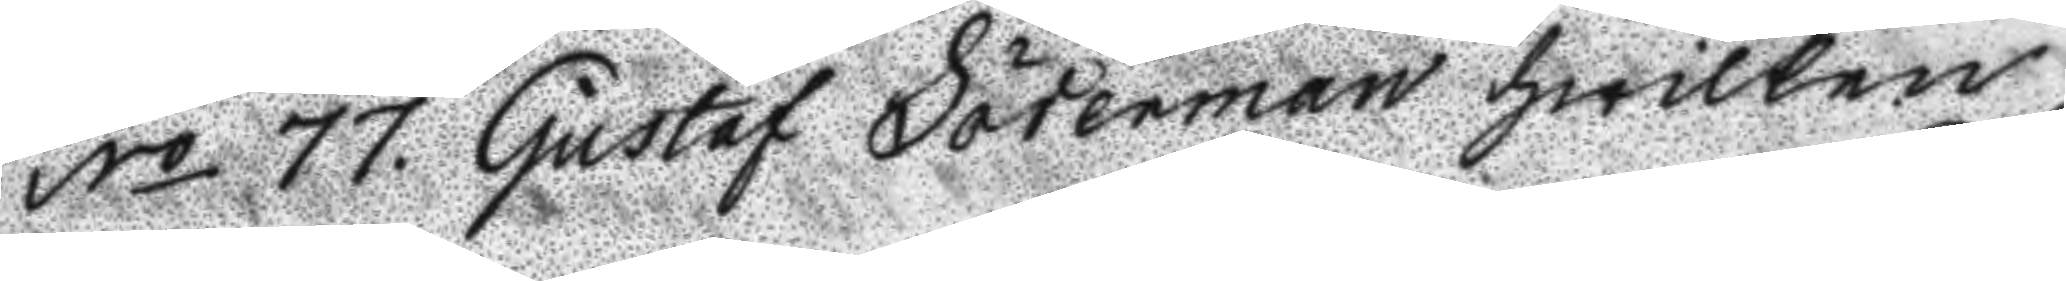No 77. Gustaf Söderman hwilken
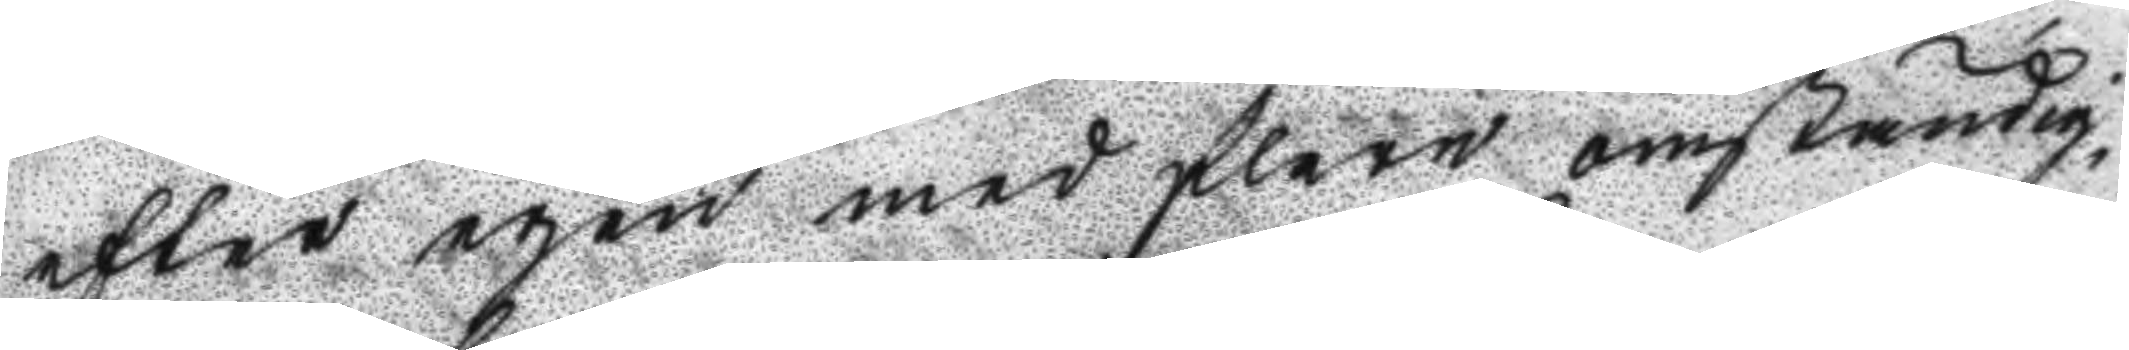efter egen med flere omständig¬
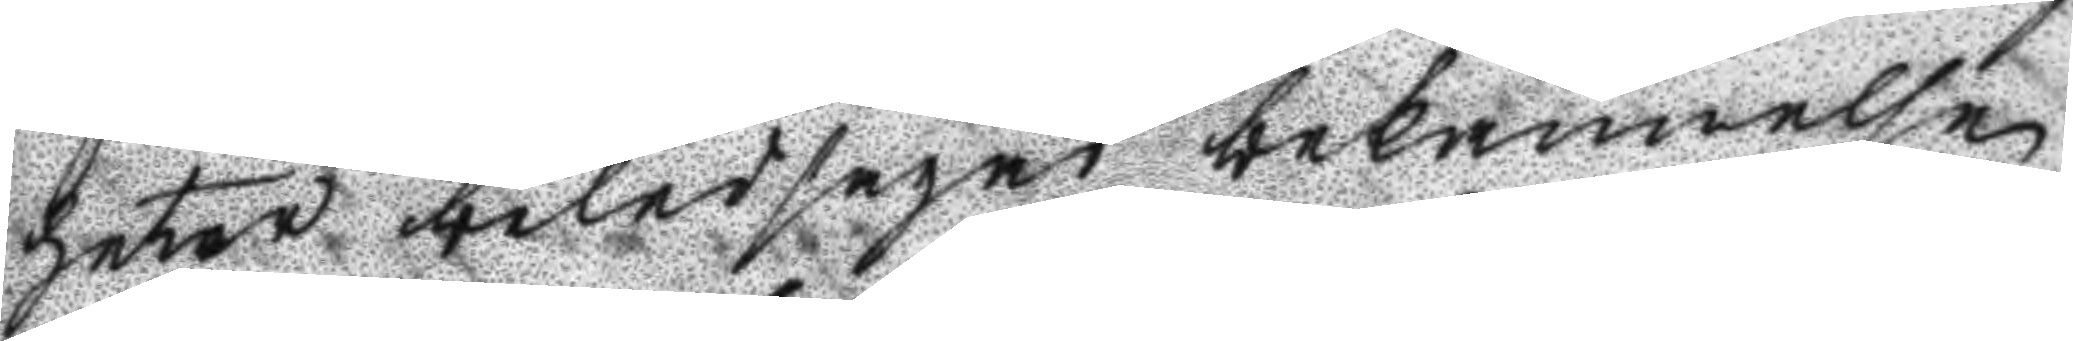heter beledsagad bekännelse
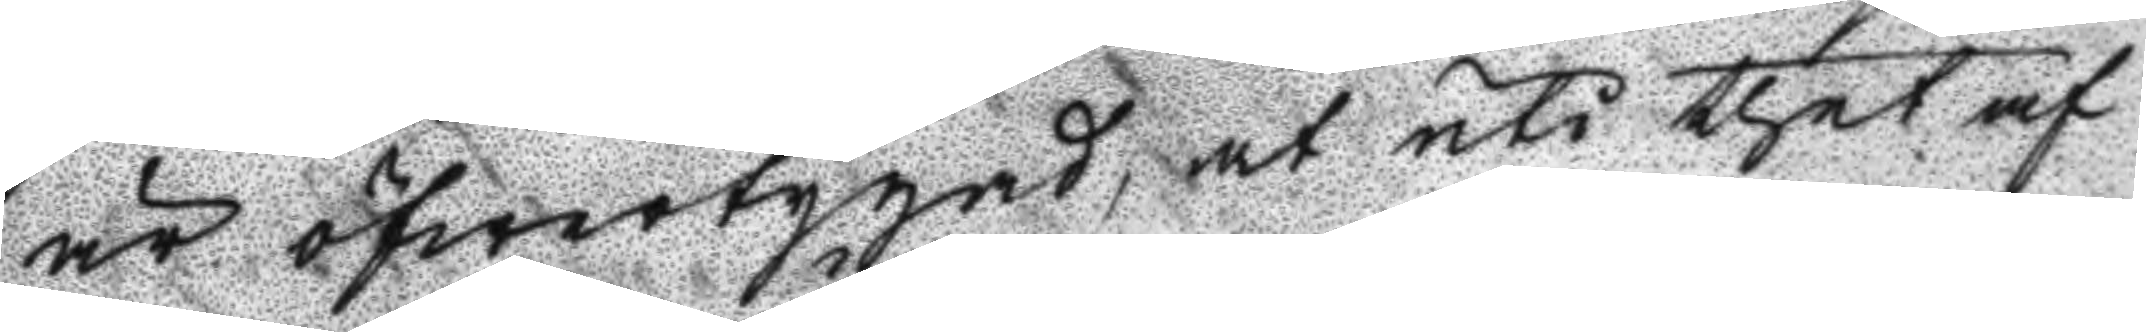är öfwertygad, at uti thet af
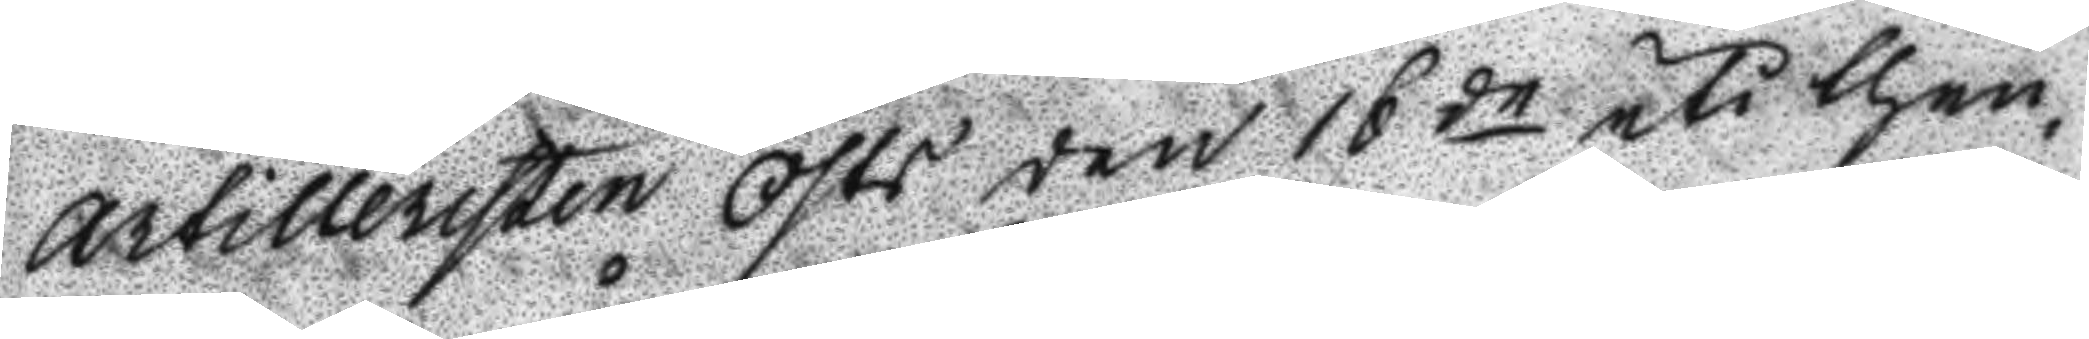Artilleristen östs den 16de uti then¬
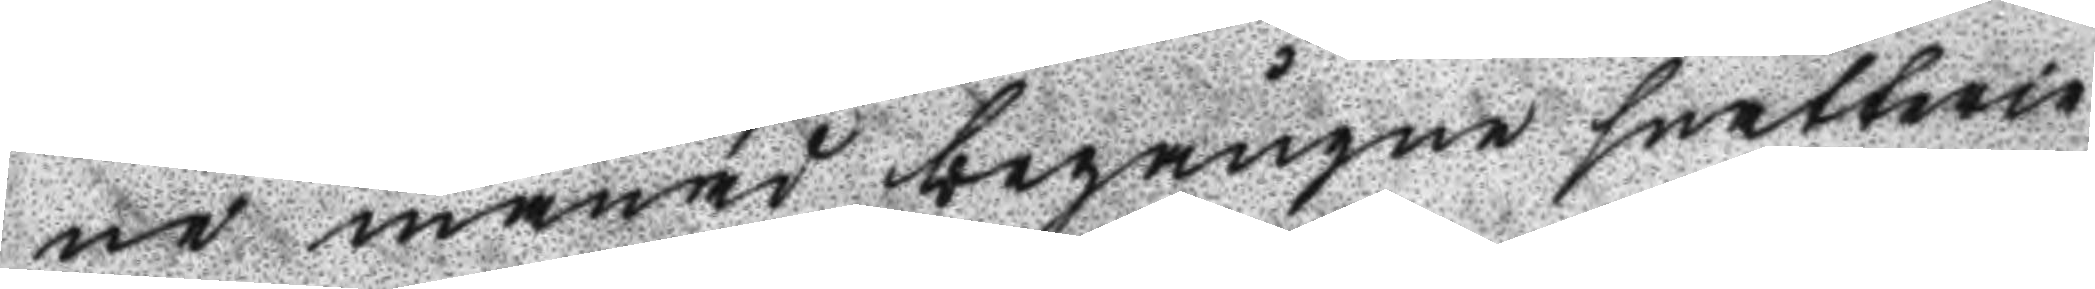ne månad begångne snatterie
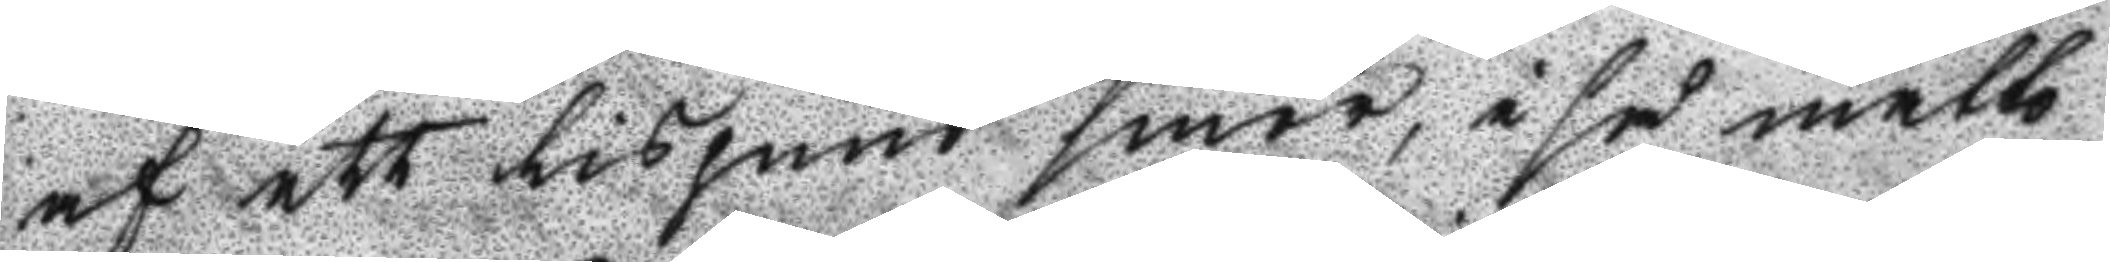af ett lispund smör, i så måtto
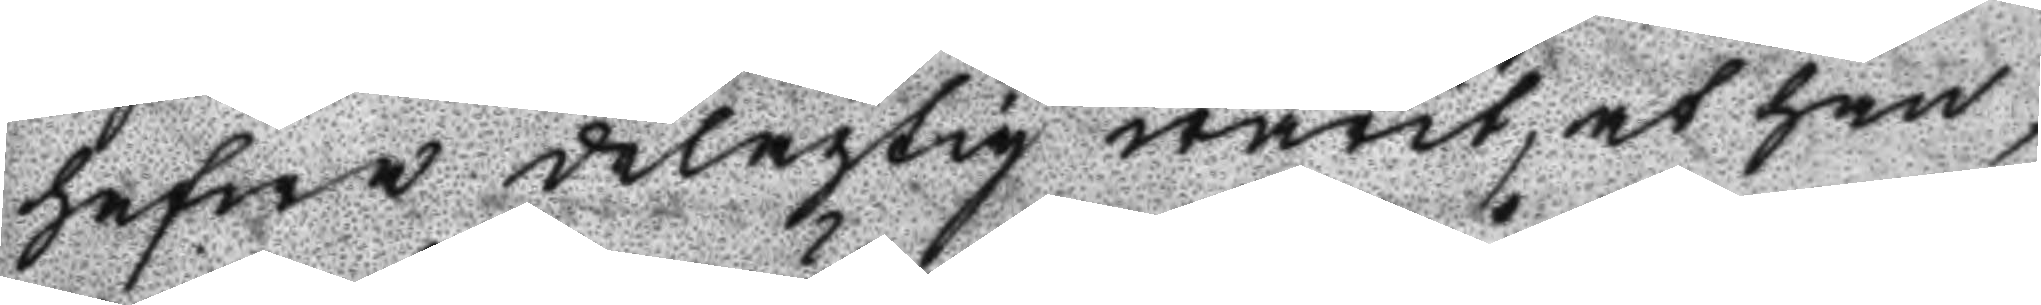hafwa delagtig warit, at han
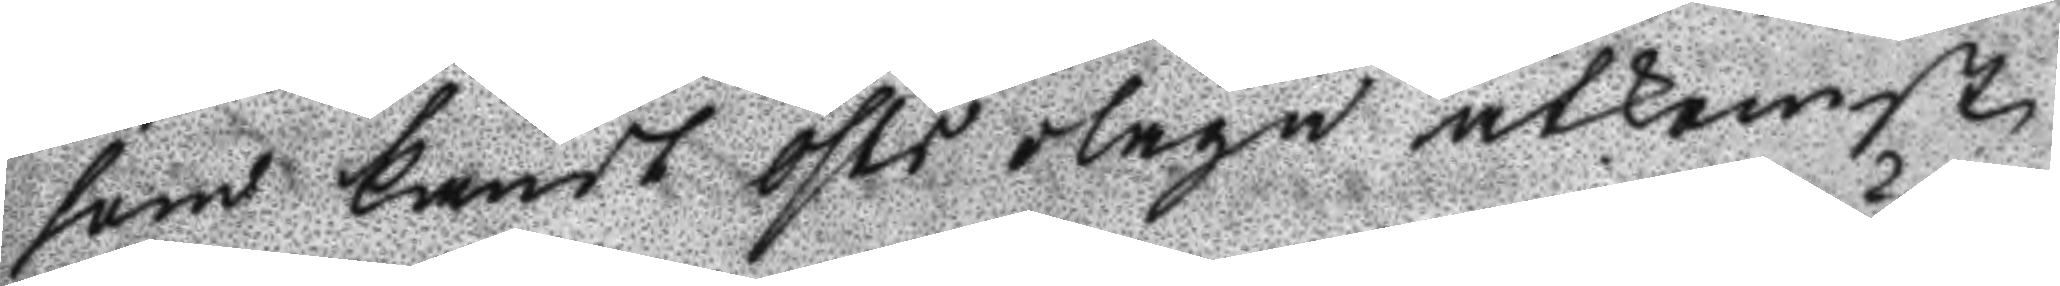som kändt Östs olaga åtkomst
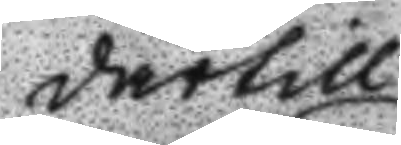därtill
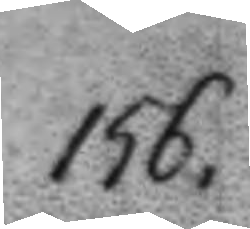156.
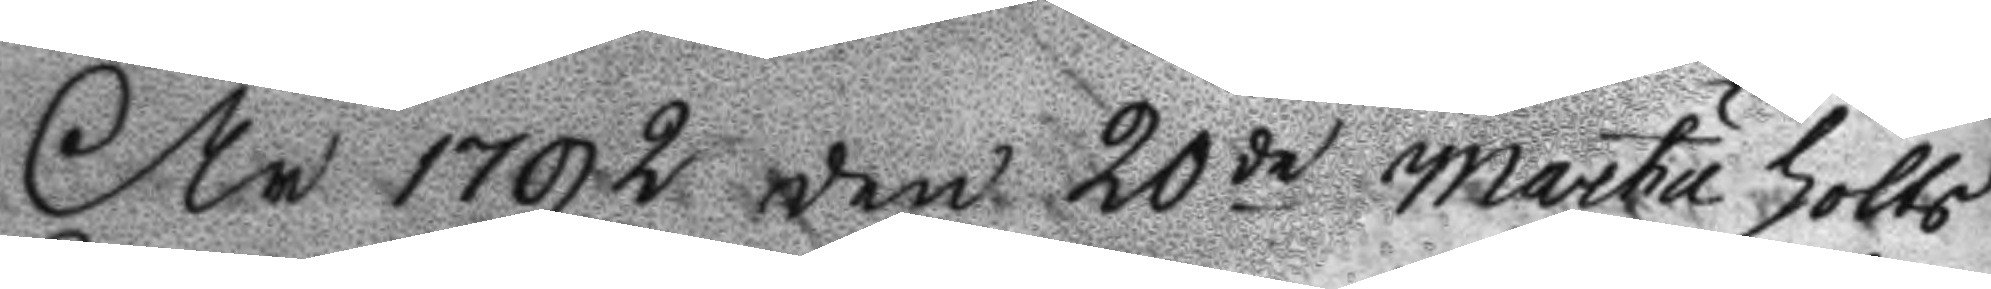År 1792 den 20de Martu hölts
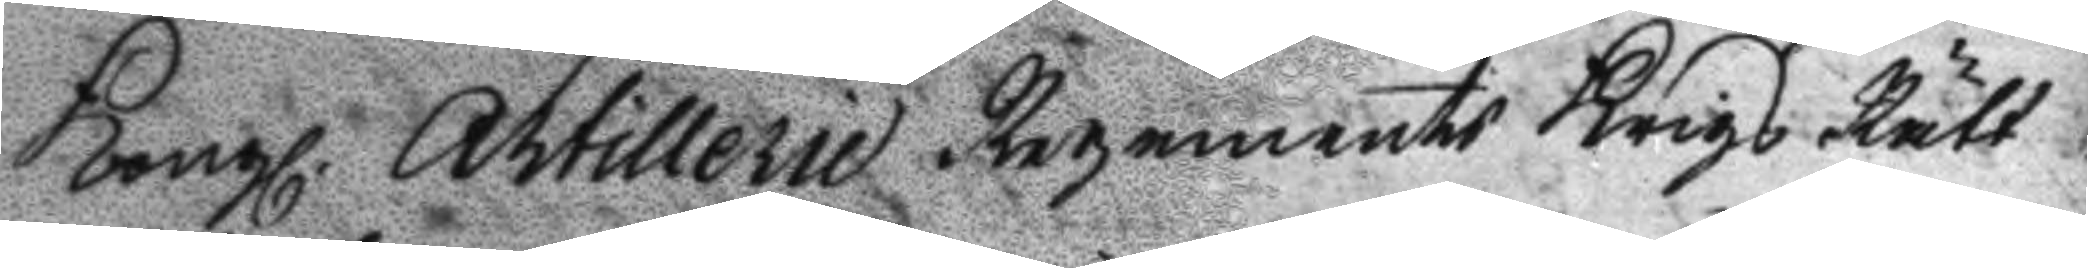Kongl. Artillerie Regements Krigs Rätt
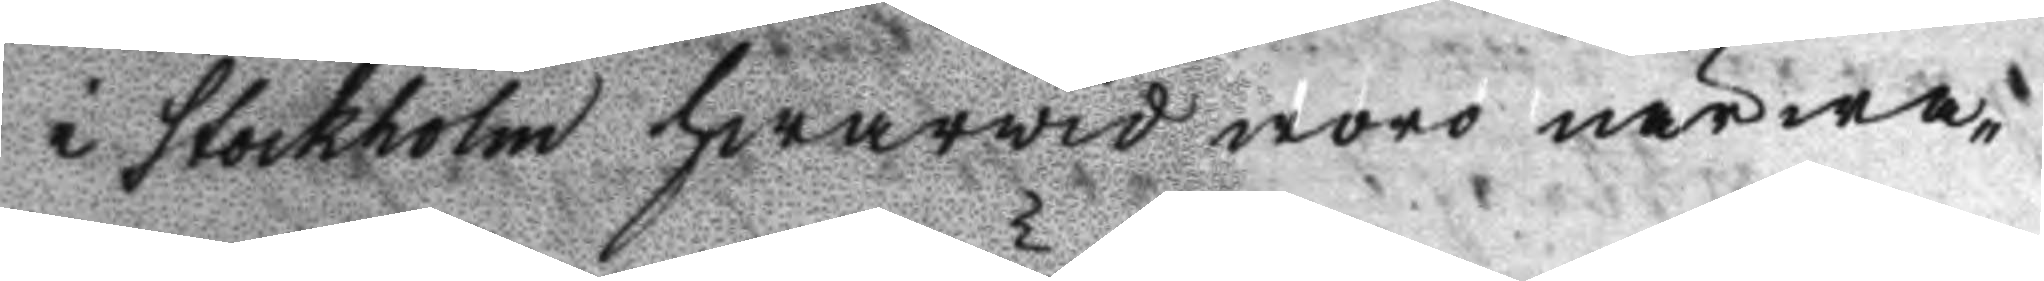i Stockholm hwarvid woro närwa¬
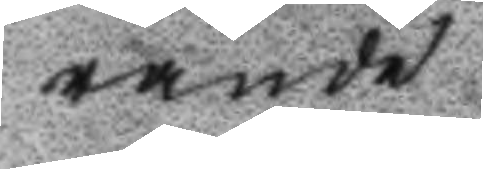rande
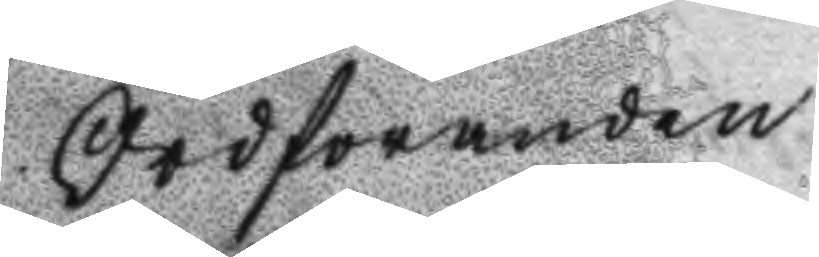Ordsöranden
